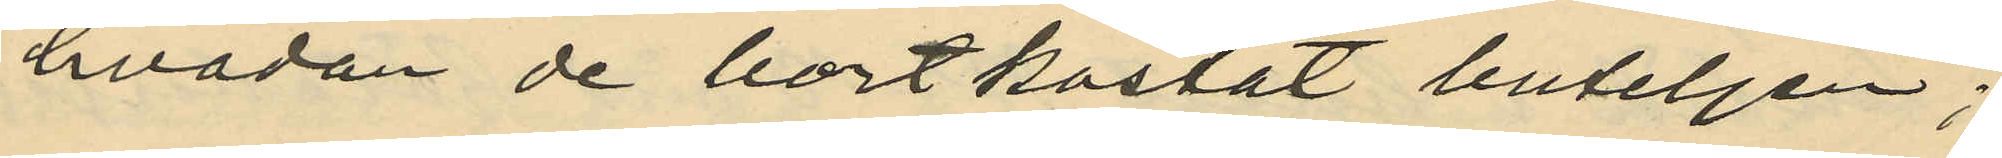hvadan de bort kastat buteljen;
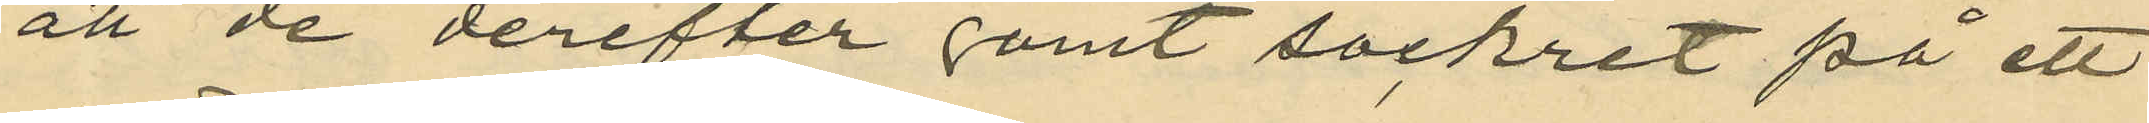att de derefter gömt sockret på ett
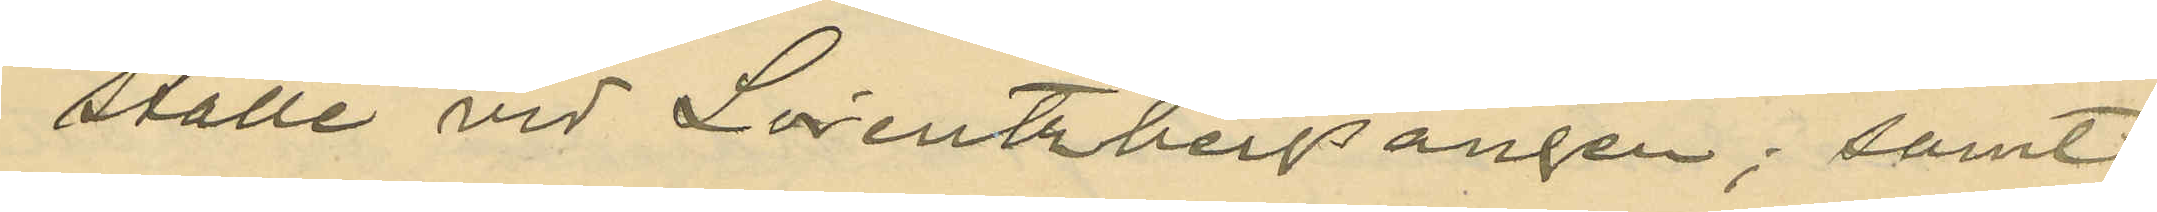ställe vid Lorentzbergsängen; samt
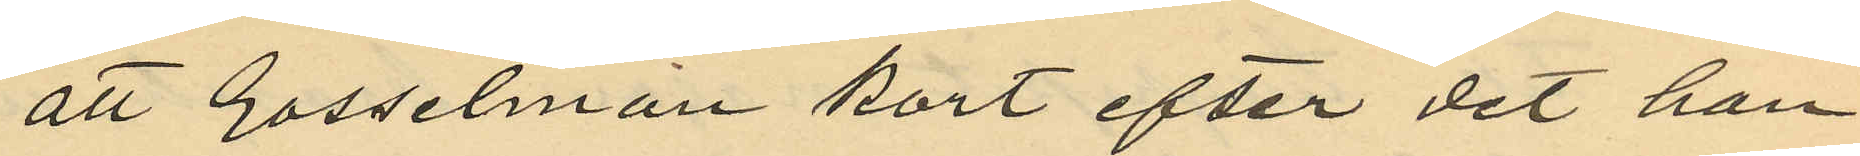att Gosselman kort efter det han
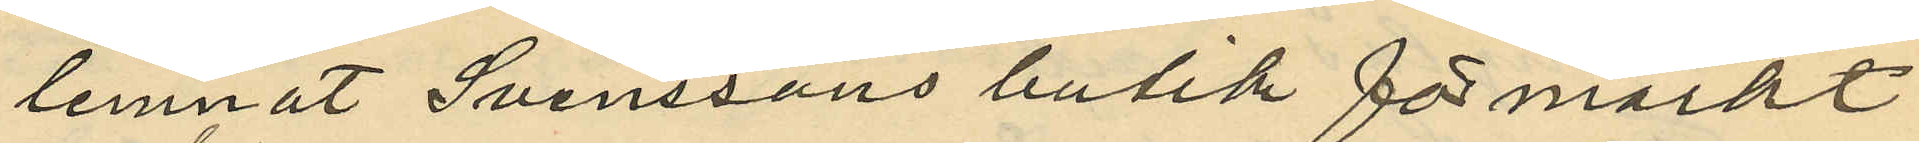lemnat Svenssons butik förmärkt
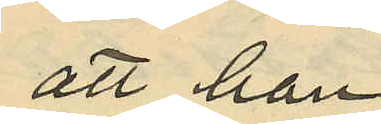att han
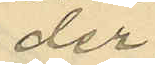der
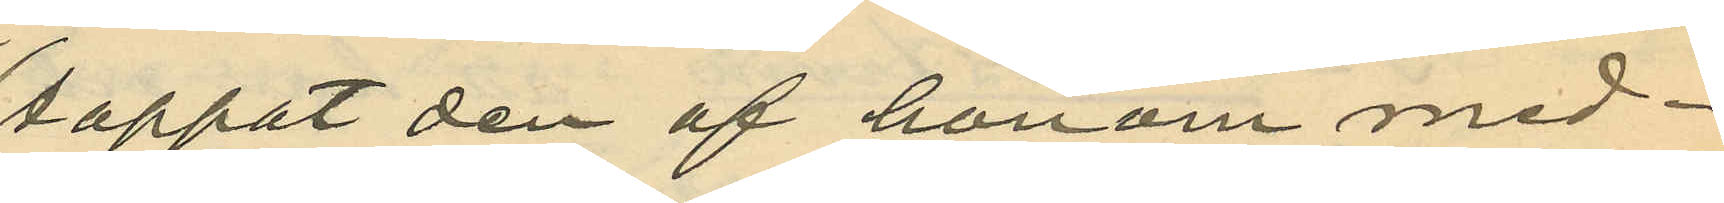tappat den af honom med¬
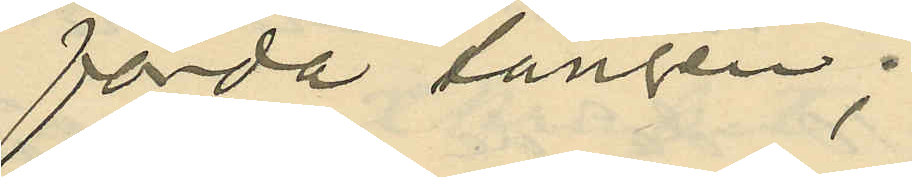förda tången;
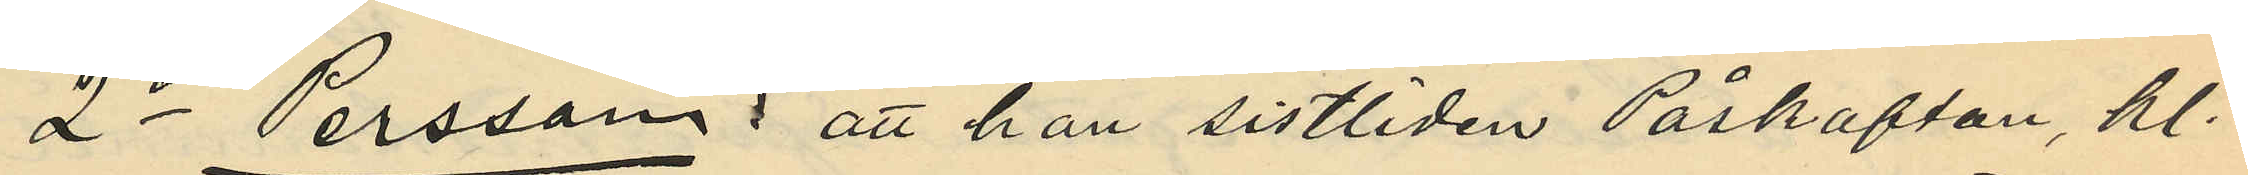2o Persson: att han sistliden Påskafton, kl.
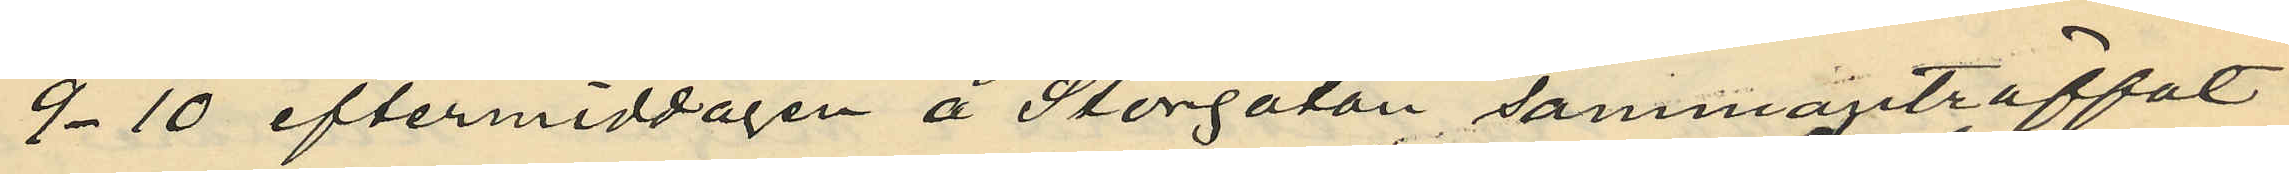9-10 eftermiddagen å Storgatan, sammanträffat
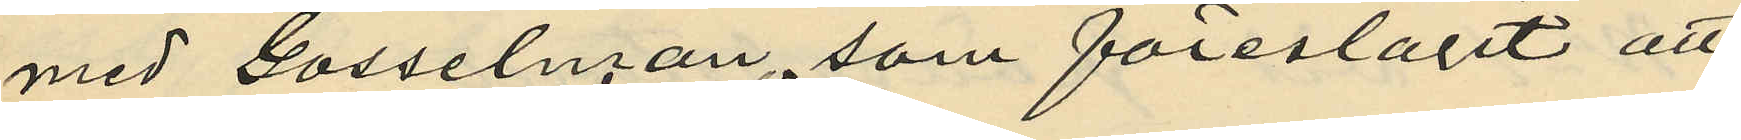med Gosselman, som föreslagit att
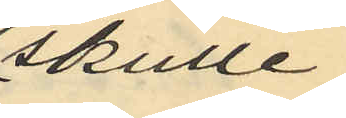skulle
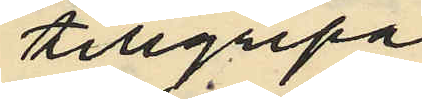tillgripa
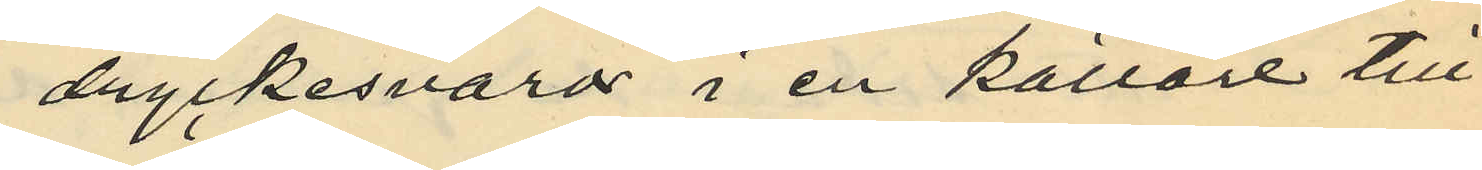dryckesvaror i en källare till
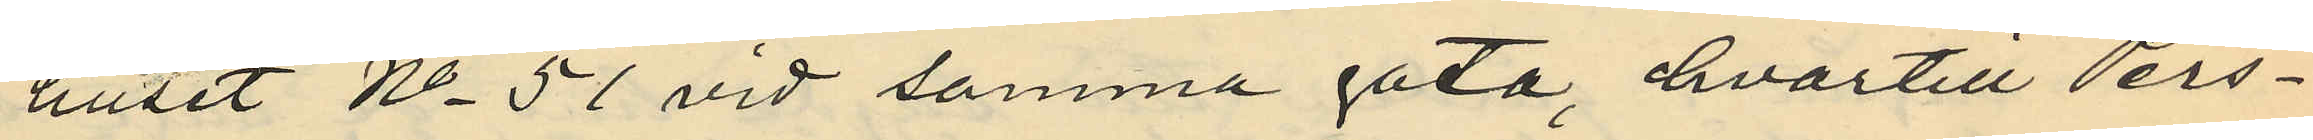huset No 51 vid samma gata, hvartill Pers¬
